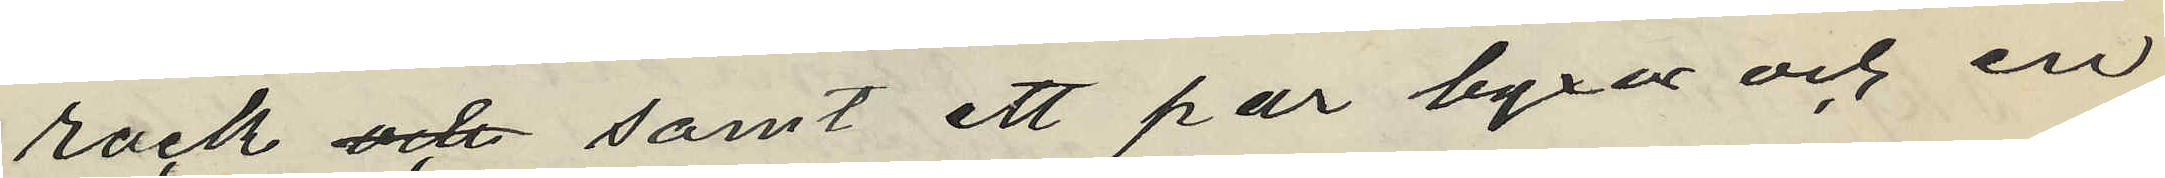rock och samt ett par byxor och en
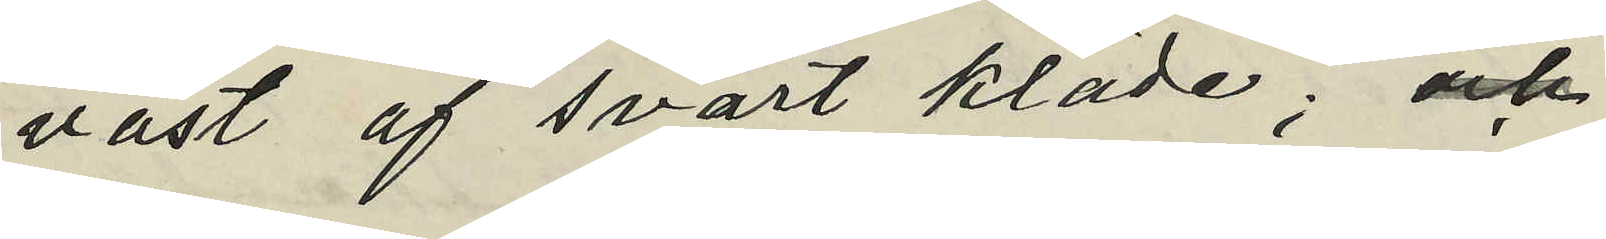väst af svart kläde; och
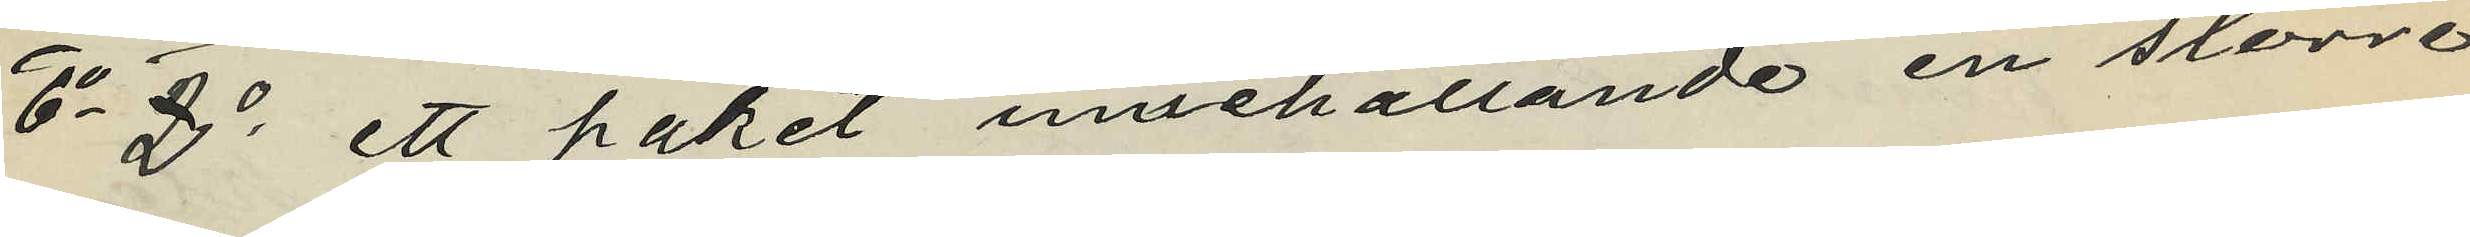6o 2o ett paket innehållande en större
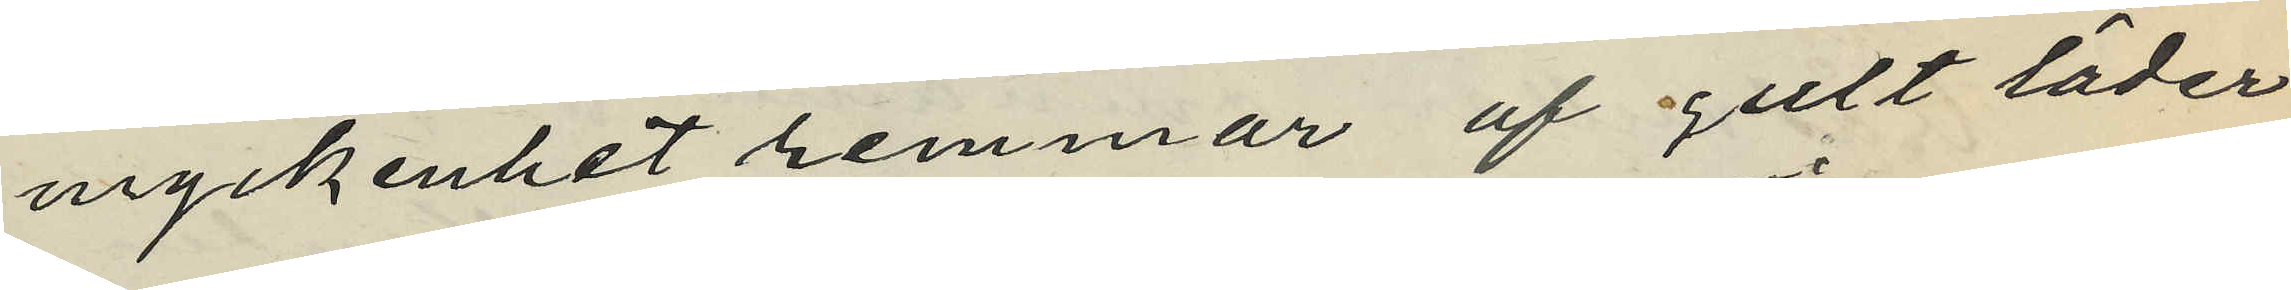myckenhet remmar af gult läder
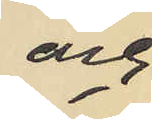och
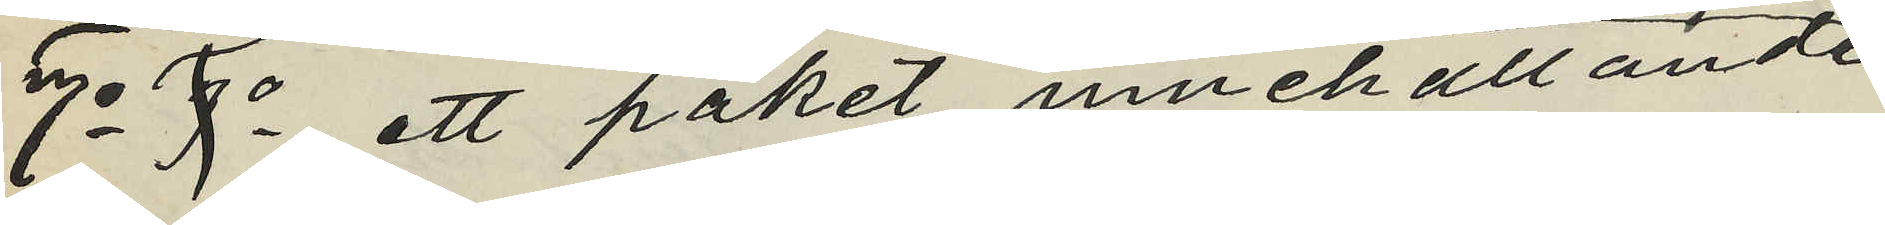7o 9o ett paket innehållande
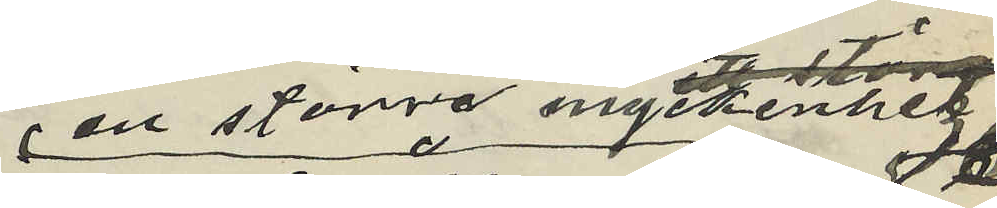en större myckenhet
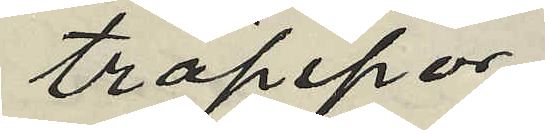träpipor
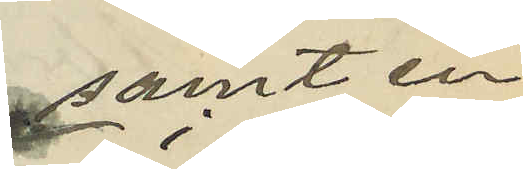samt en
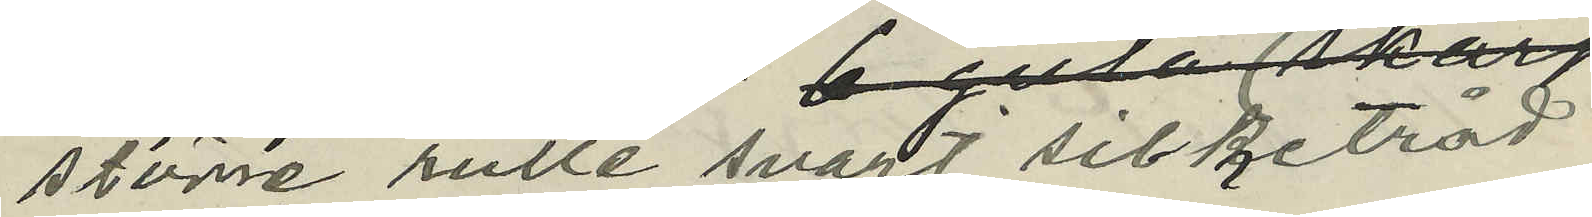större rulle svart silketråd
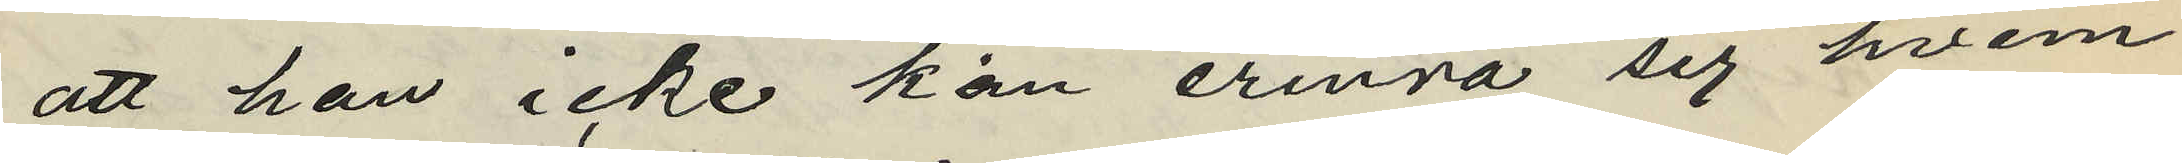att han icke kan erinra sig hvem
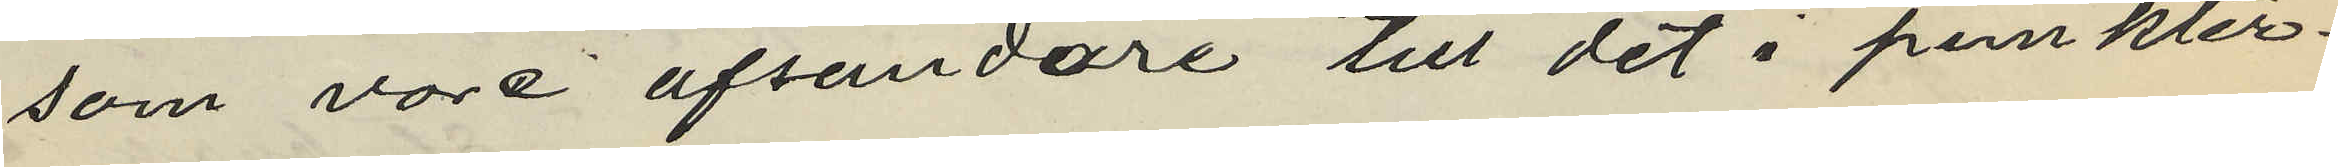som vore afsändare till det i punkter¬
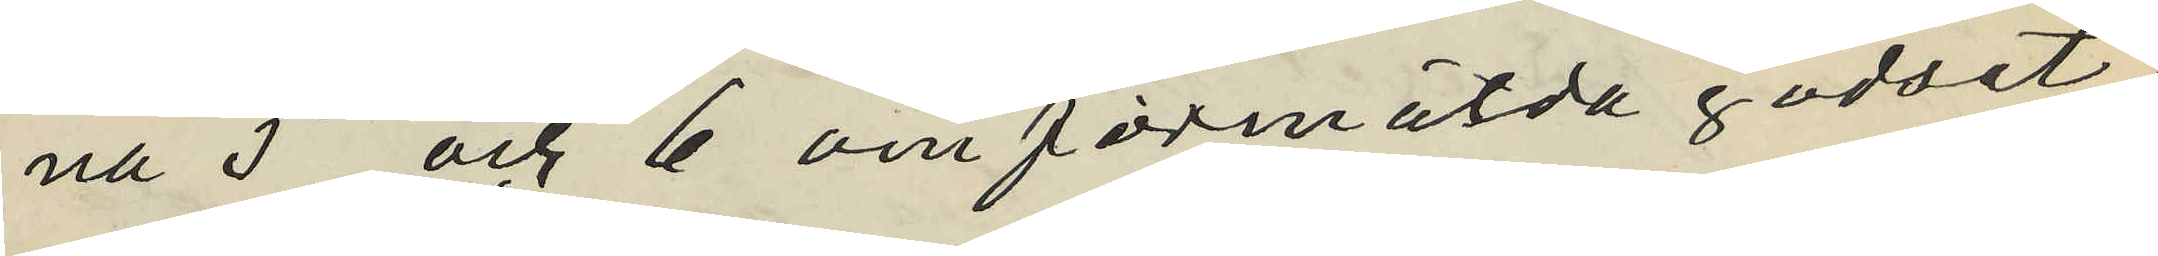na 5 och 6 omförmälda godset
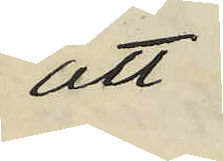att
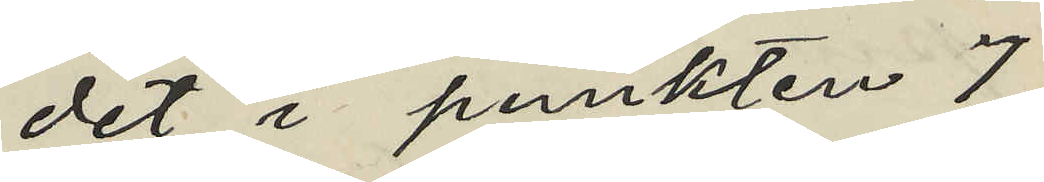det i punkten 7
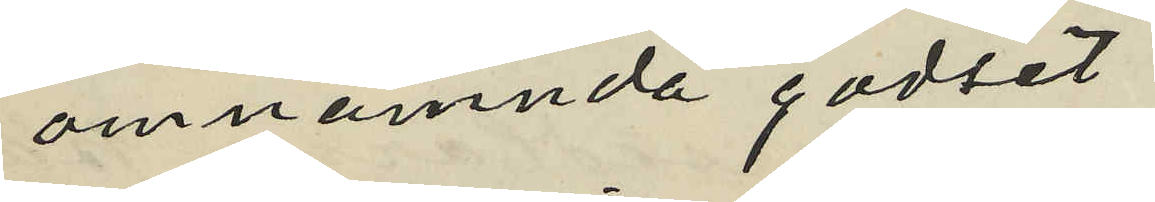omnämnda godset
